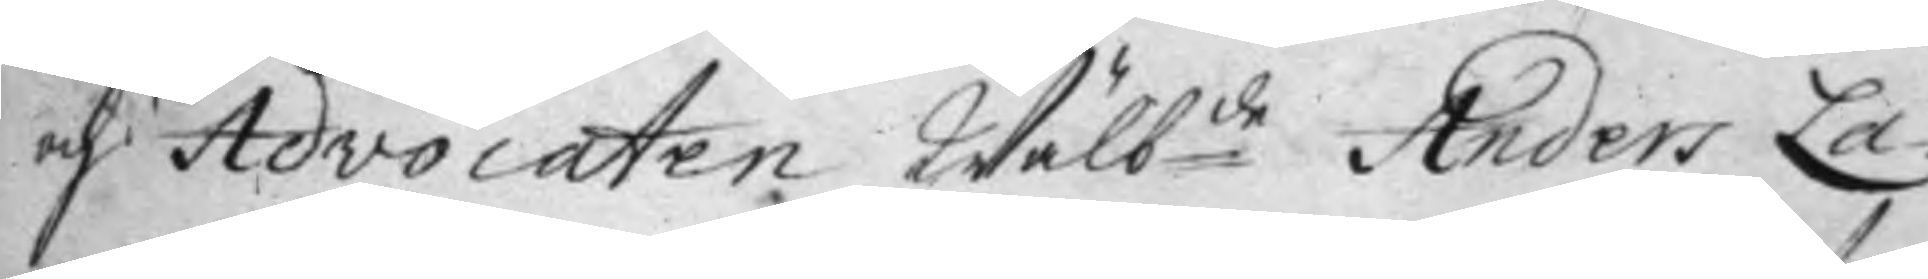och Advocaten Wälb:de Anders La¬
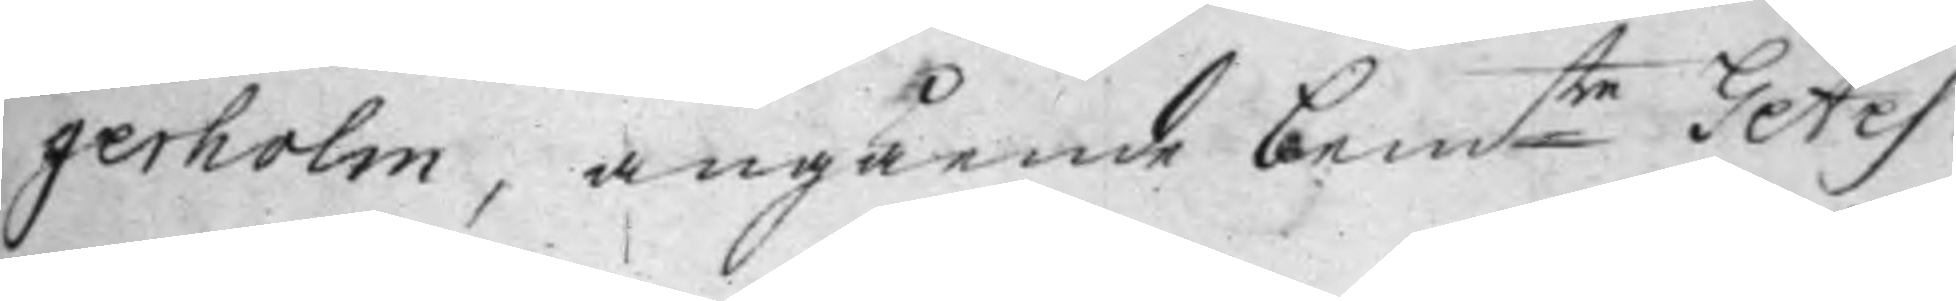gerholm, angående bem:te Getes
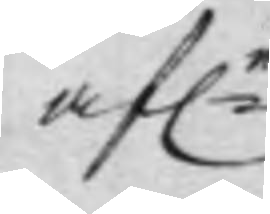af:e
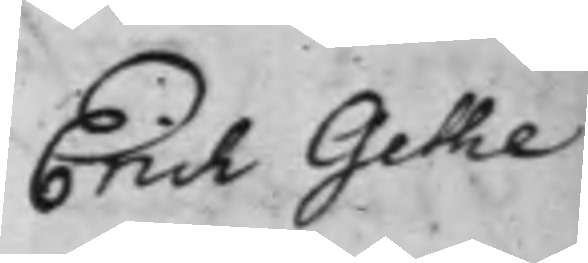Erich Gethe
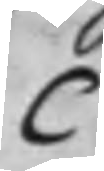C
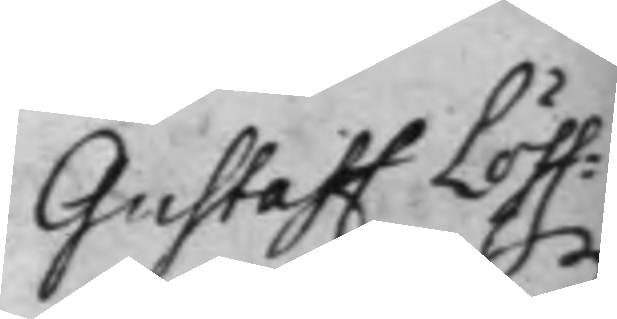Gustaff Löff—¬
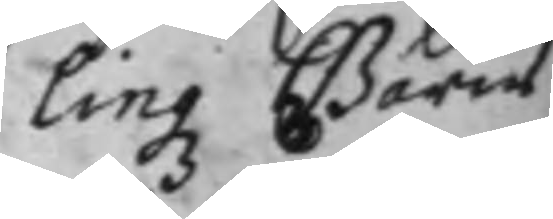lingz Barns
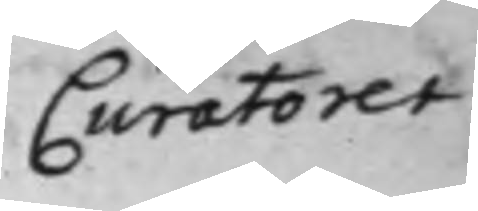Curatorer.
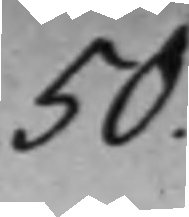50.
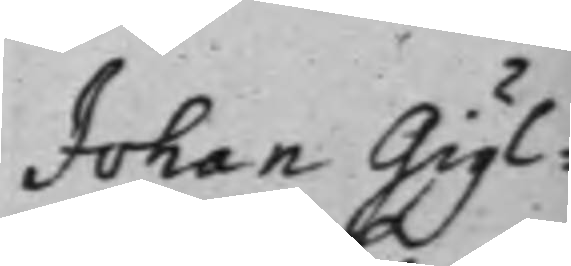Johan Giyl¬
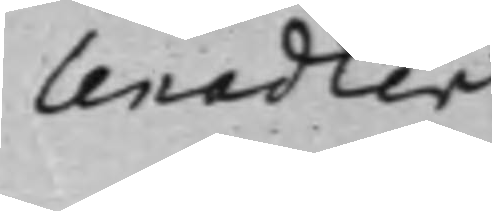lenadler
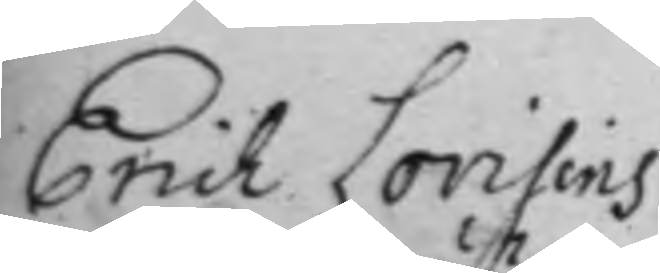Erich Lovisins
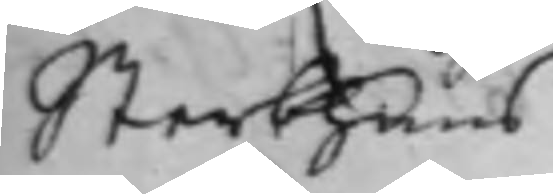Sterbhuus
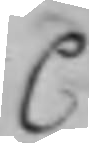C
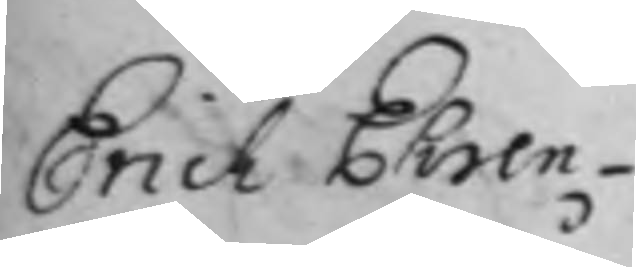Erich Ehren¬
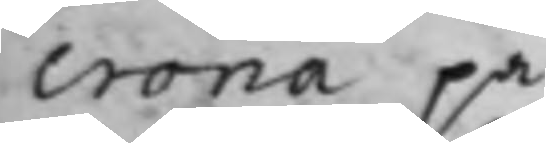crona på
